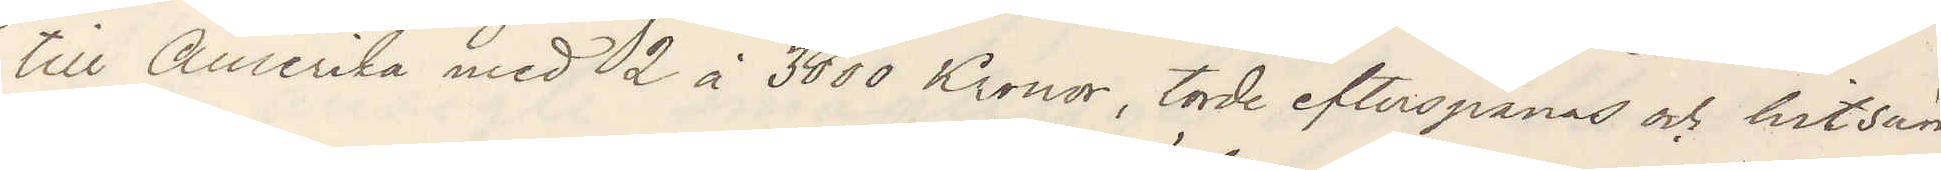till Amerika med 2 à 3000 Kronor, torde efterspanas och hitsän¬
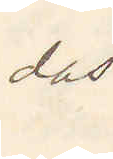das.
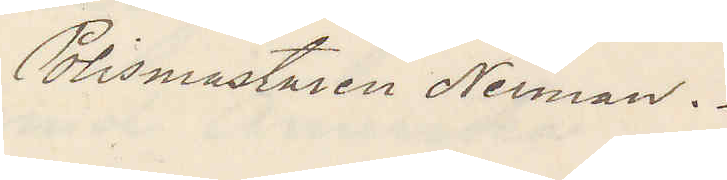Polismästaren Nerman.
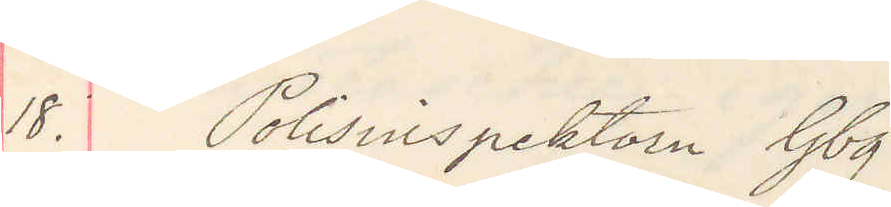18. Polisinspektorn Gbg
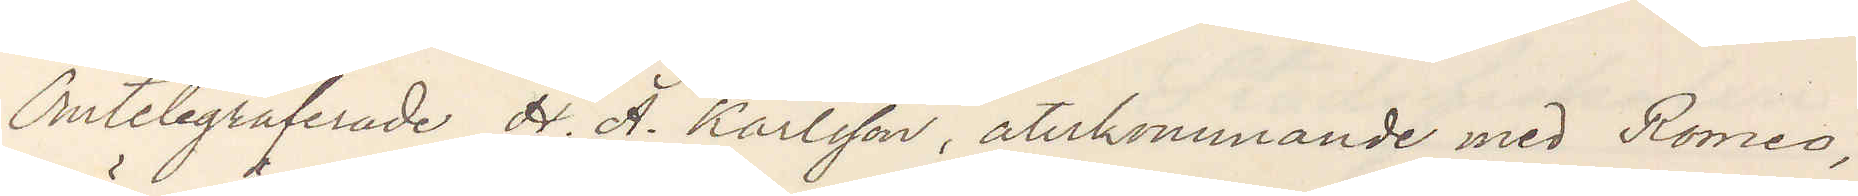Omtelegraferade H. A. Karlsson återkommande med Romeo,
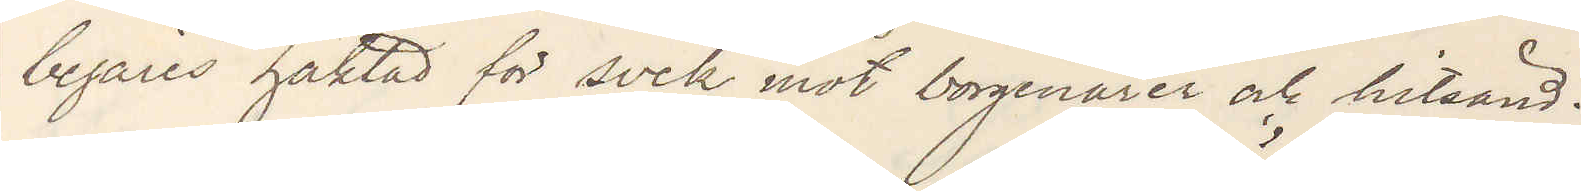begäres häktad för svek mot borgenärer och hitsänd.
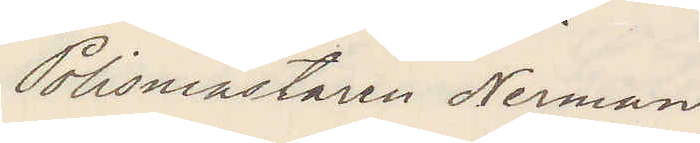Polismästaren Nerman.
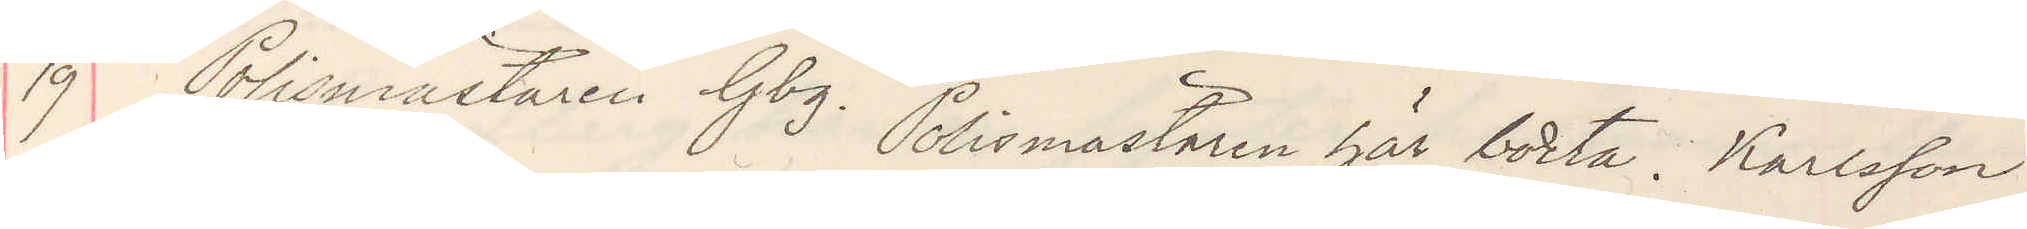19 Polismästaren Gbg. Polismästaren här borta. Karlsson
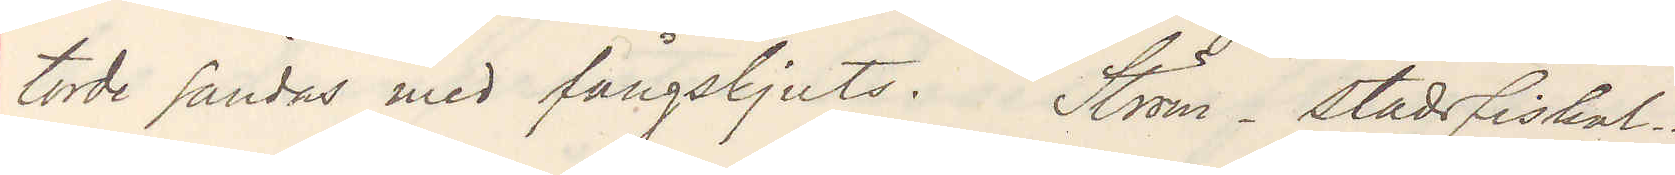torde sändas med fångskjuts. Ström stadsfiskal
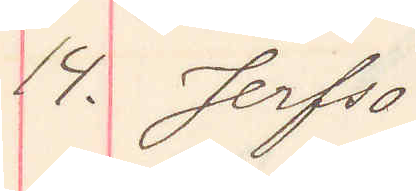14. Jerfsö
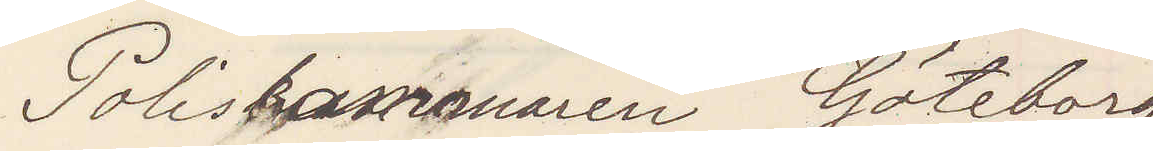Poliskammaren Göteborg
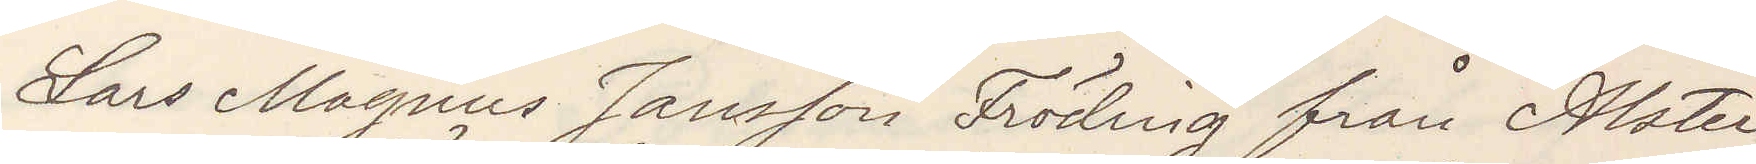Lars Magnus Jansson Fröding från Alster
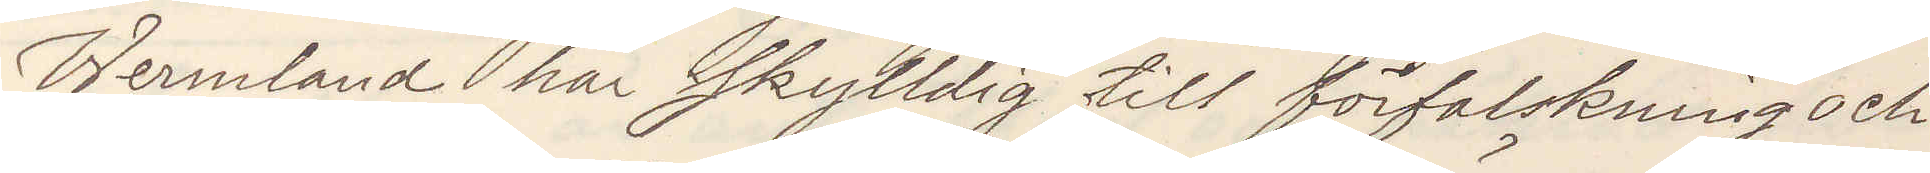Wermland här skyldig till förfalskning och
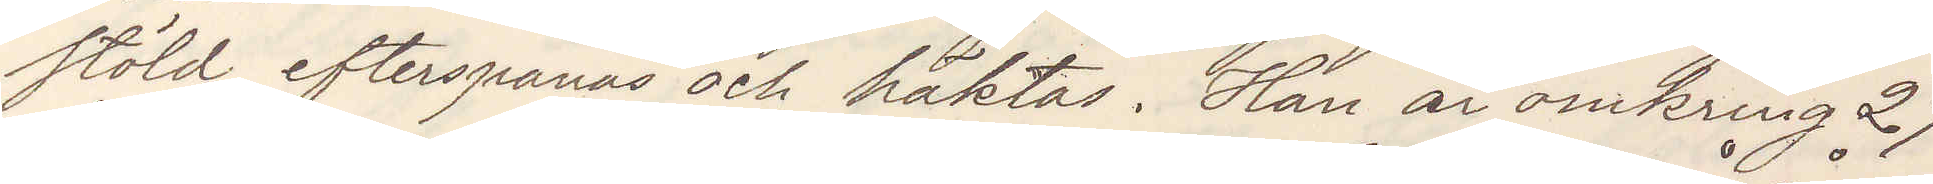stöld efterspanas och häktas. Han är omkring 27
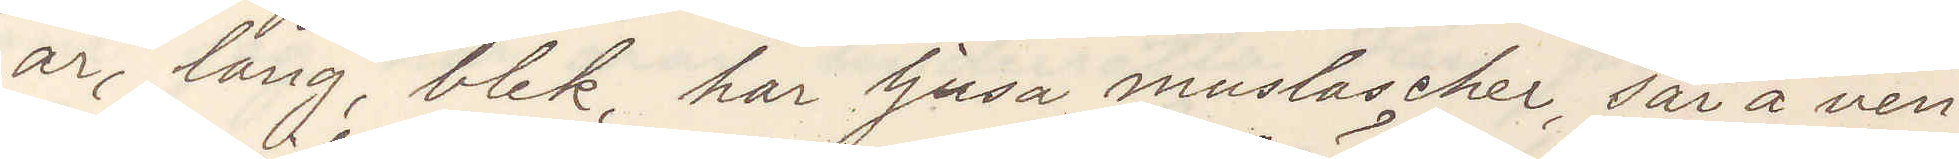år, lång, blek, har ljusa mustascher, sår å ven¬
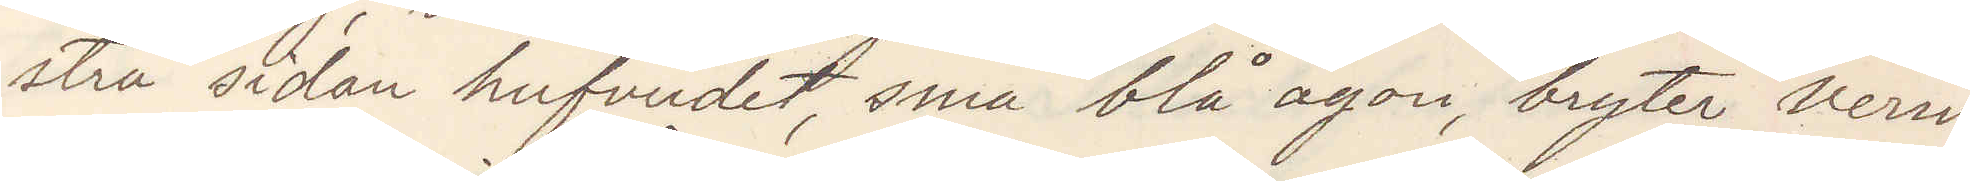stra sidan hufvudet, små blå ögon, bryter verm¬
